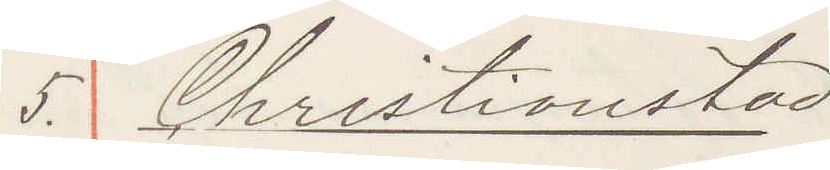5. Christianstad
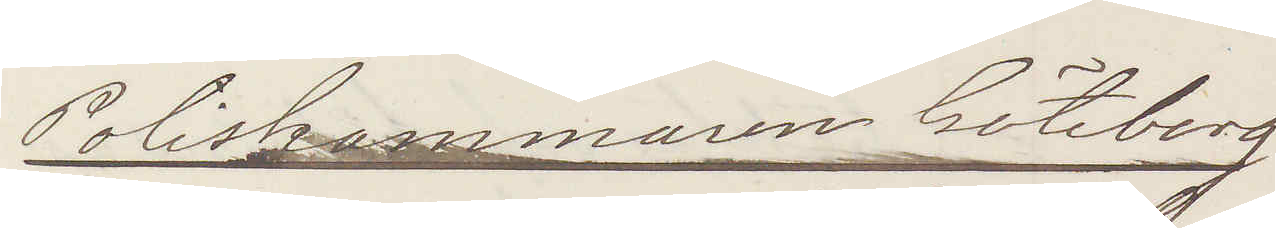Poliskammaren Göteborg
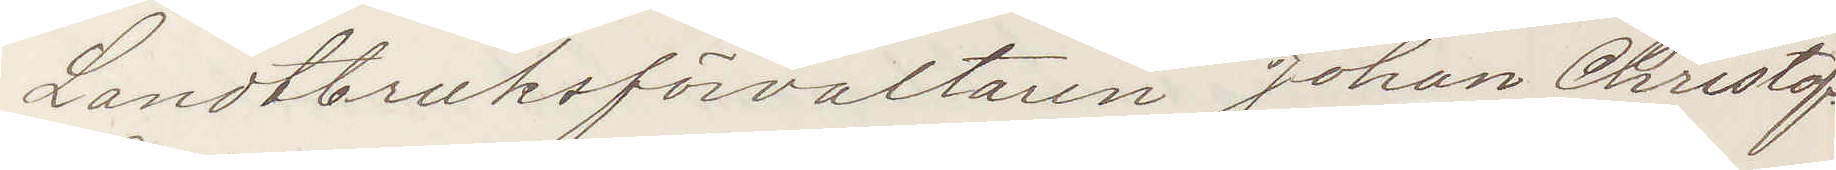Landtbruksförvaltaren Johan Christof¬
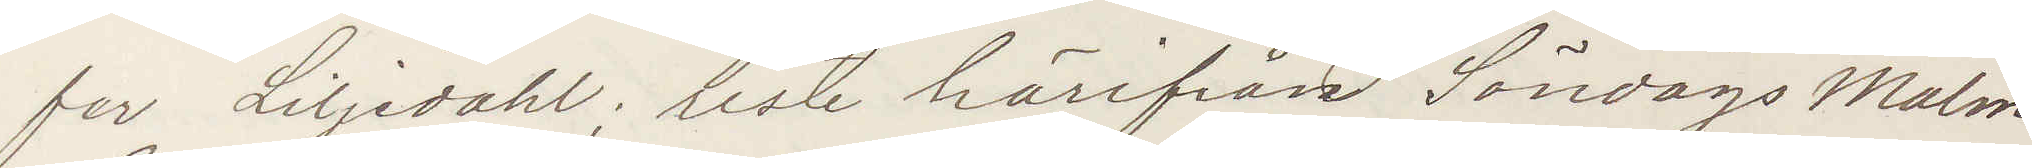fer Liljedal; reste härifrån Söndags Malmö
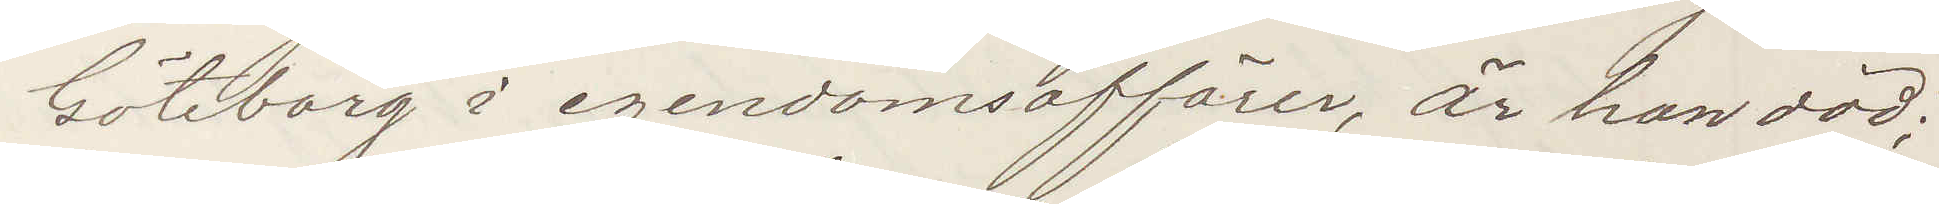Göteborg i egendomsaffärer, är han död;
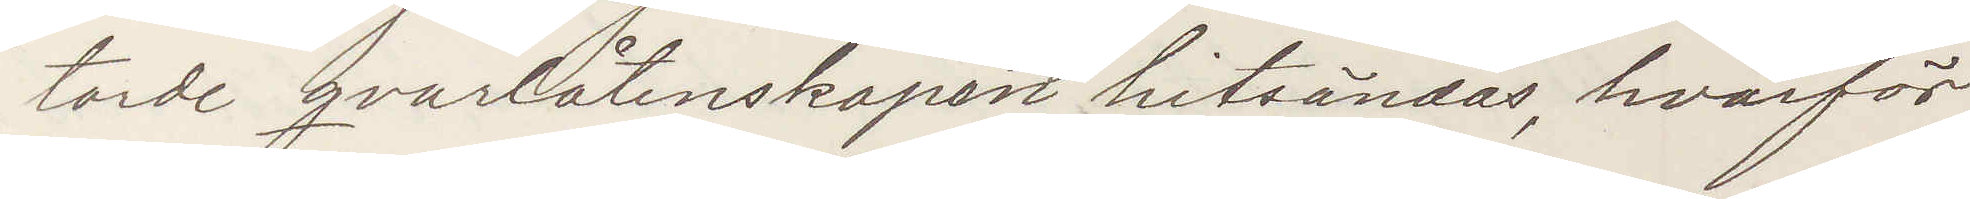torde qvarlåtenskapen hitsändas, hvarför
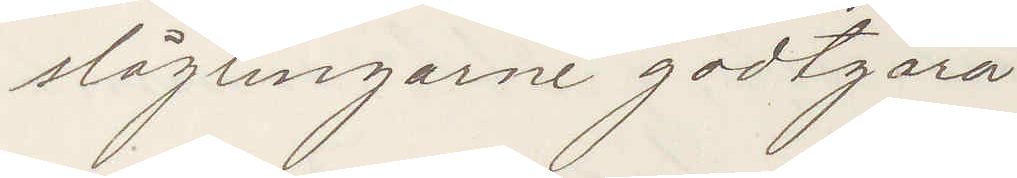slägtingarne godtgöra
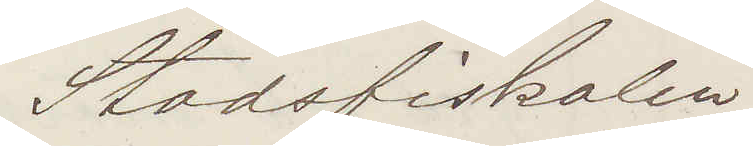Stadsfiskalen
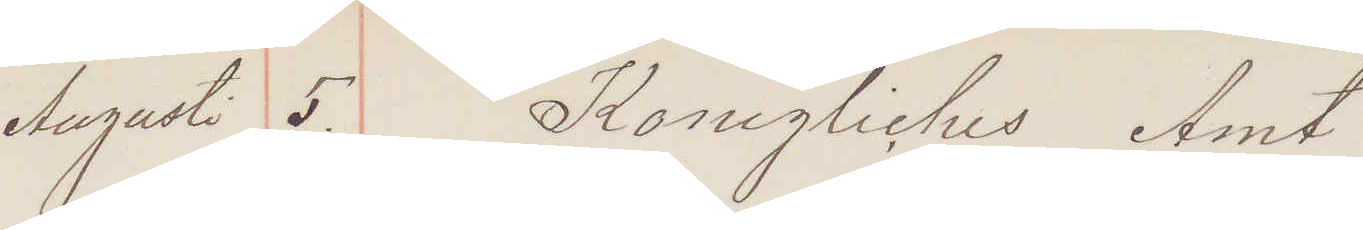Augusti 5. Konigliches Amt
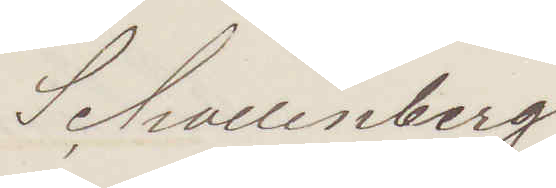Schallenberg
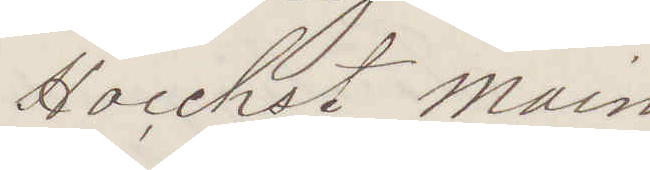Hoechst Main
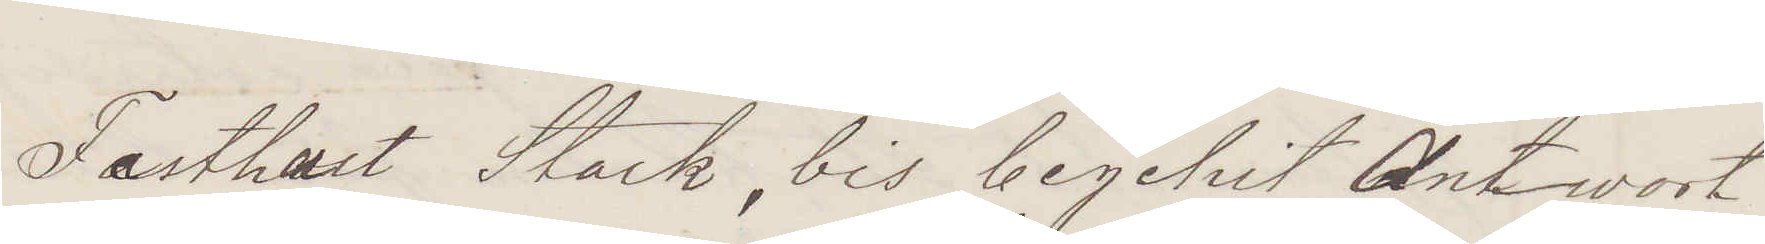Festhalt Stark, bis begetrit Antwort
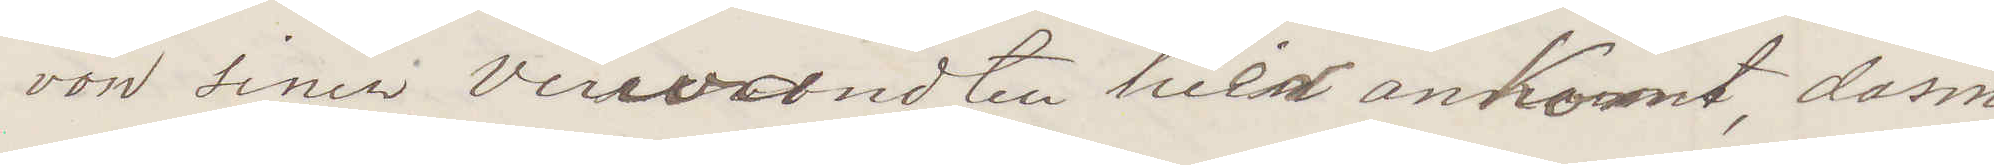von seinem verwandten hier anKomt, dasm¬
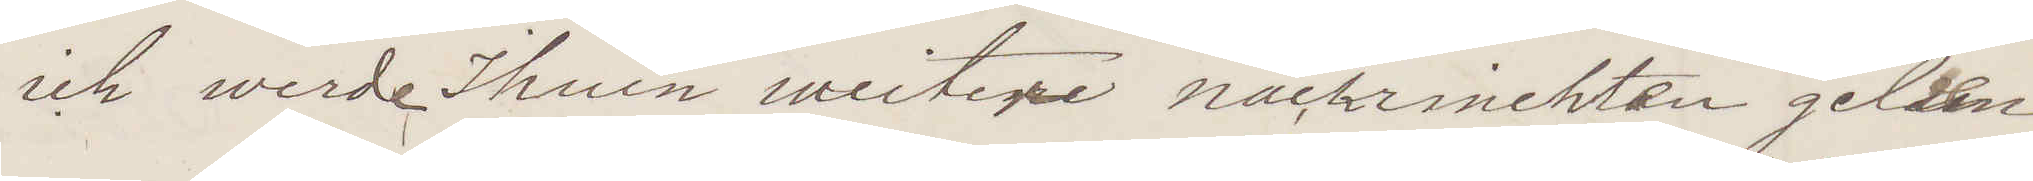ich werde Ihren weitere nachrinchten gelden
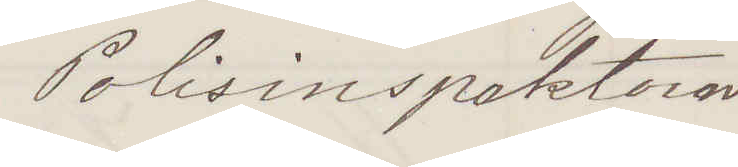Polisinspektorn
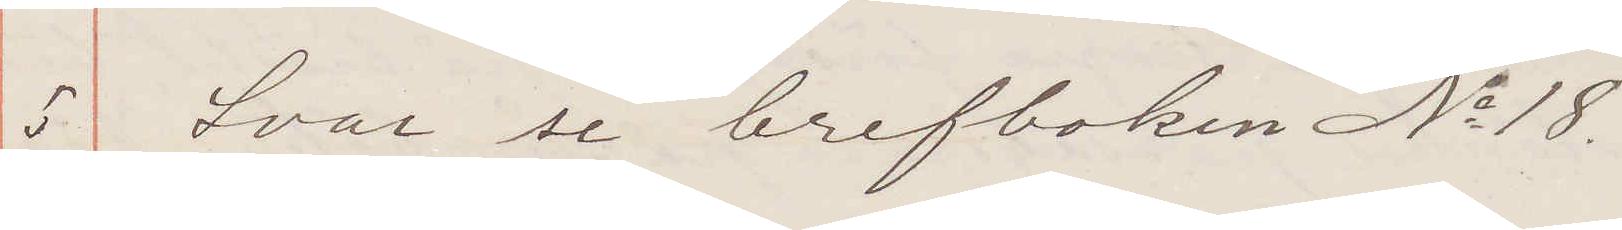5 Svar se brefboken No 18.
